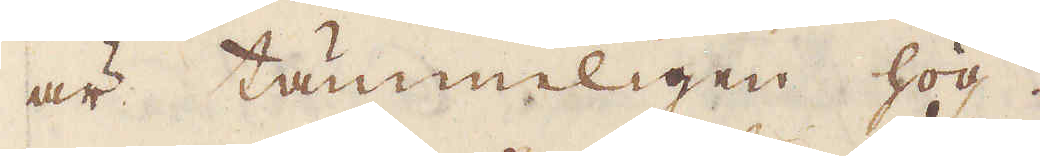är tämmeligen hög.
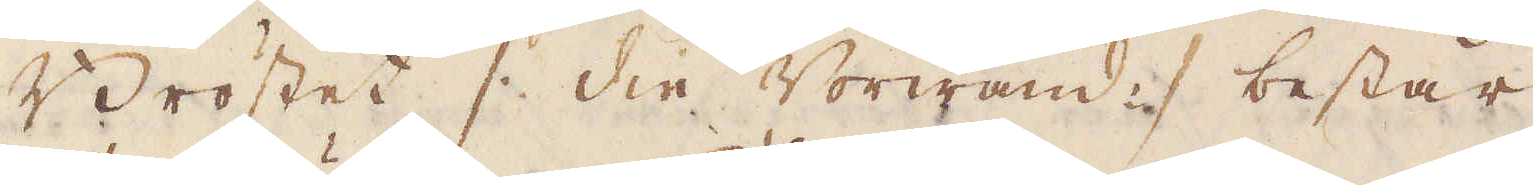Bröstet /: die Vorwand :/ består
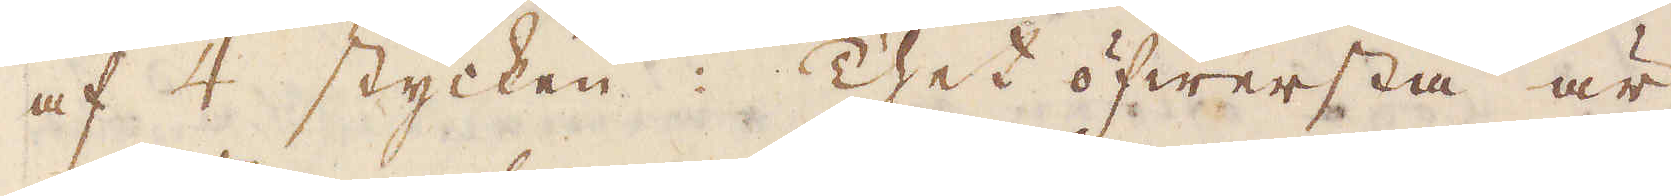af 4 stycken. Thet öfwersta är
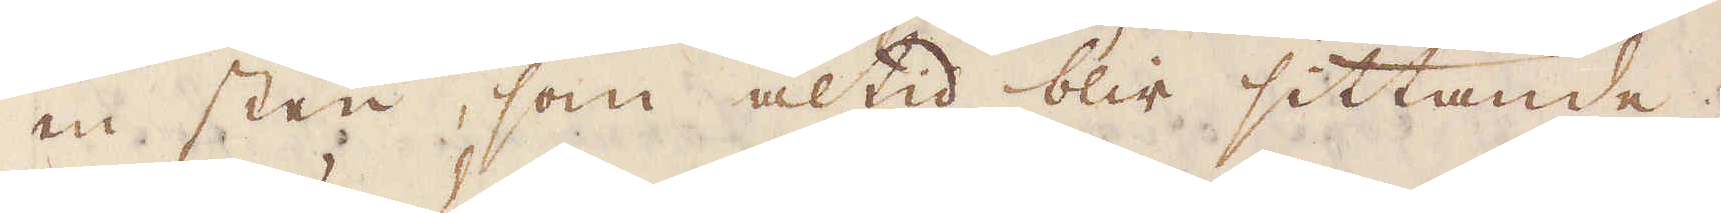en sten, som altid blir sittande.
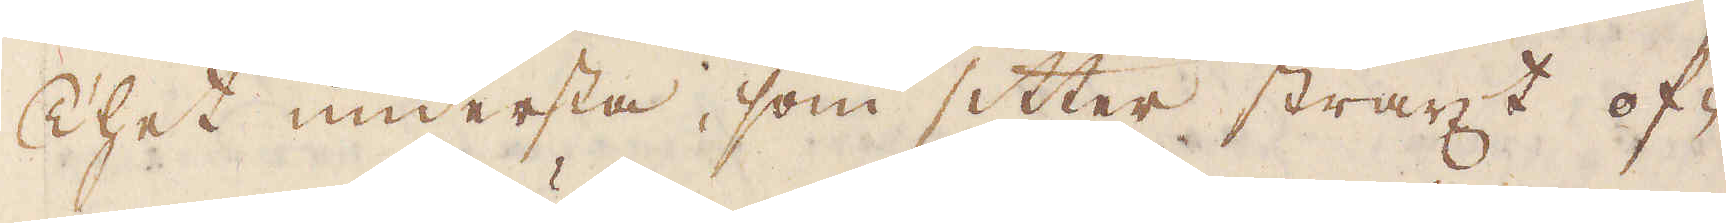Thet understa, som sitter straxt of-
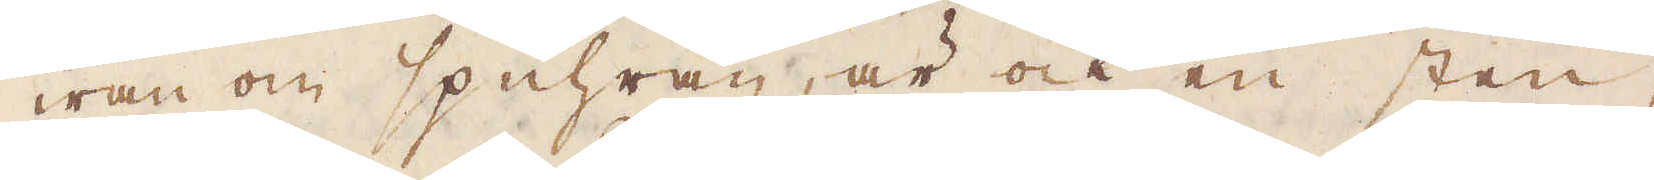wan om spuhran, är ock en sten,
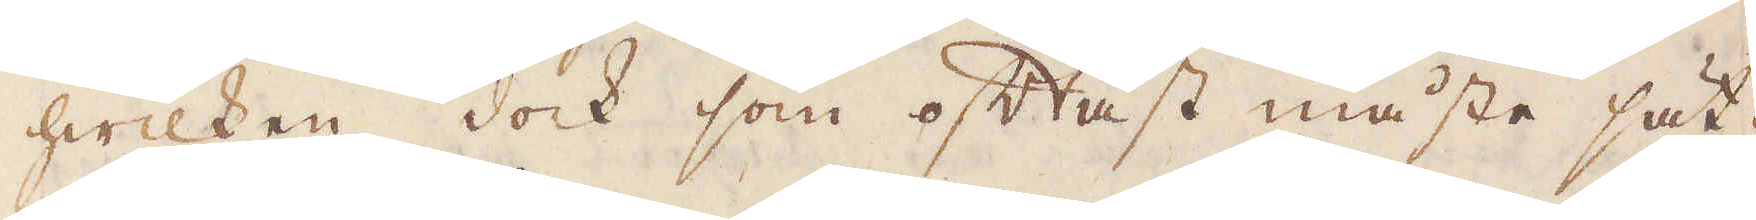hwilken dock som oftast måste sät-
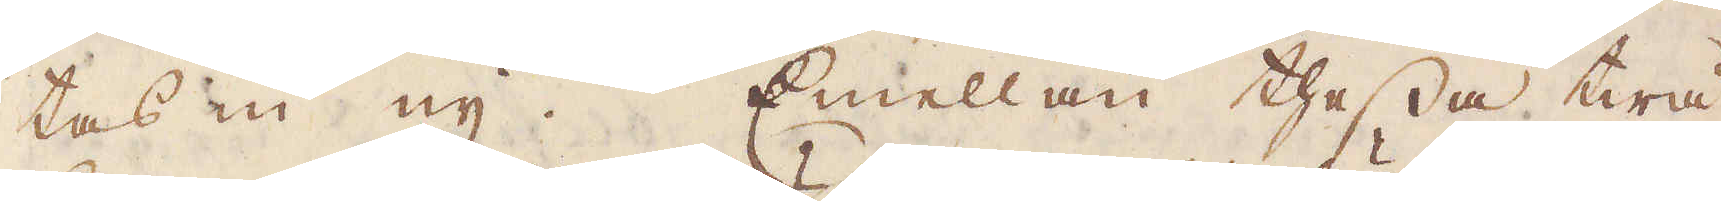tas en ny. Emellan thessa twå
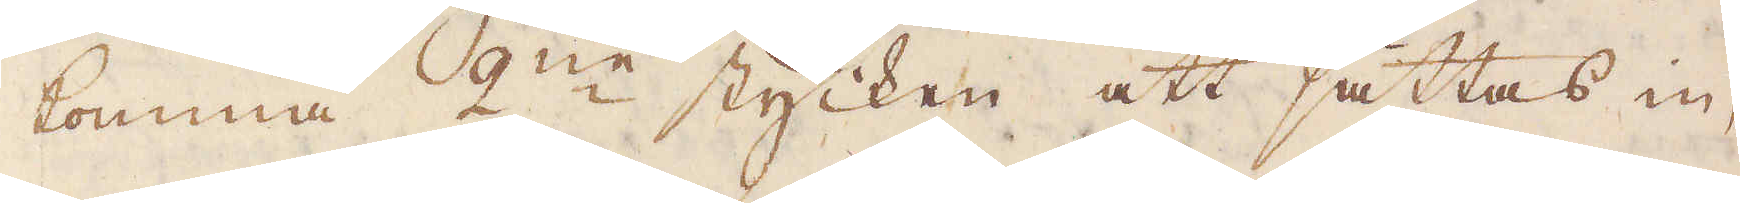komma 2:ne stycken att sättas in,
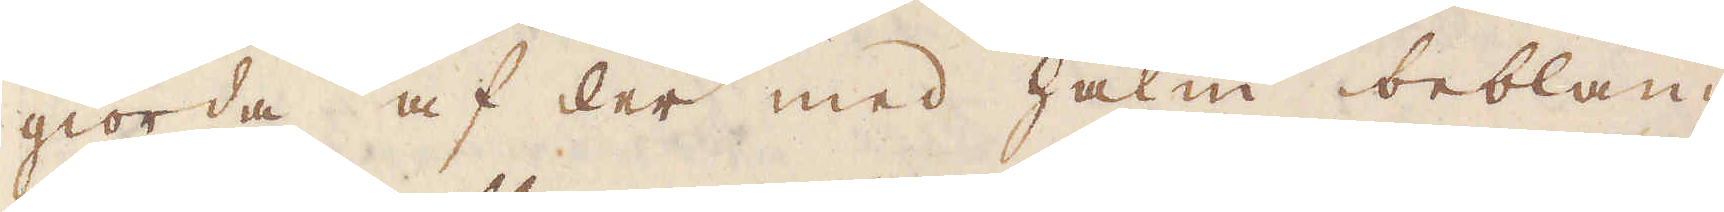giorda af ler med halm beblan-
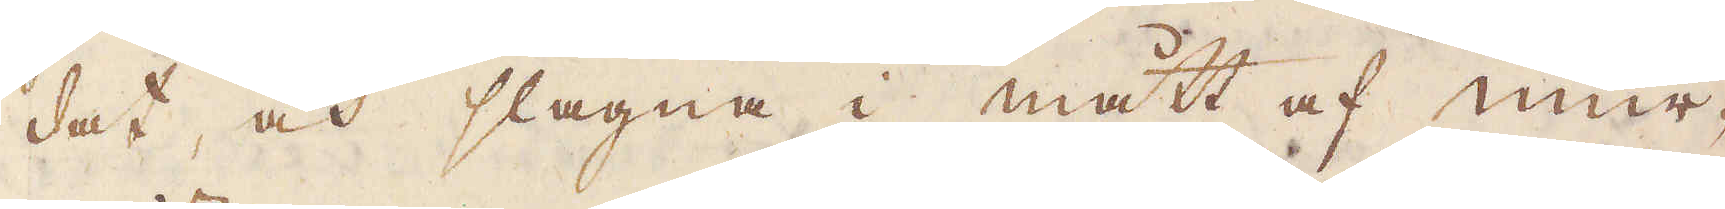dat, och slagna i mått af mur-
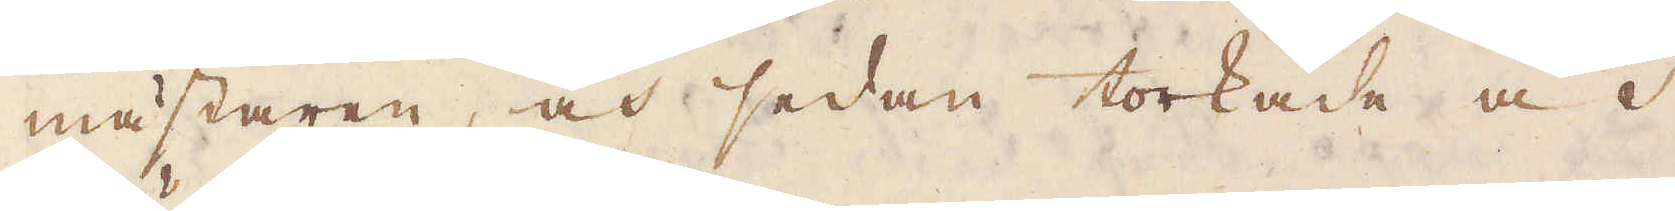mästaren, och sedan torkade och
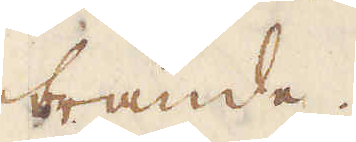brände.
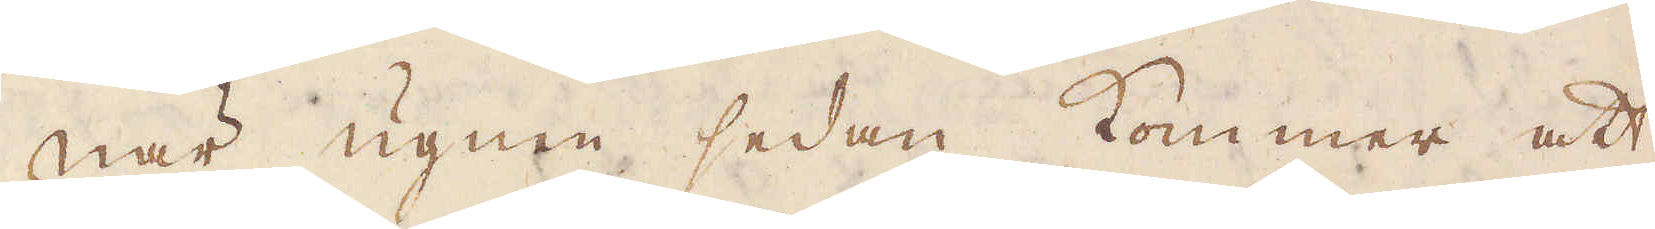När ugnen sedan kommer att
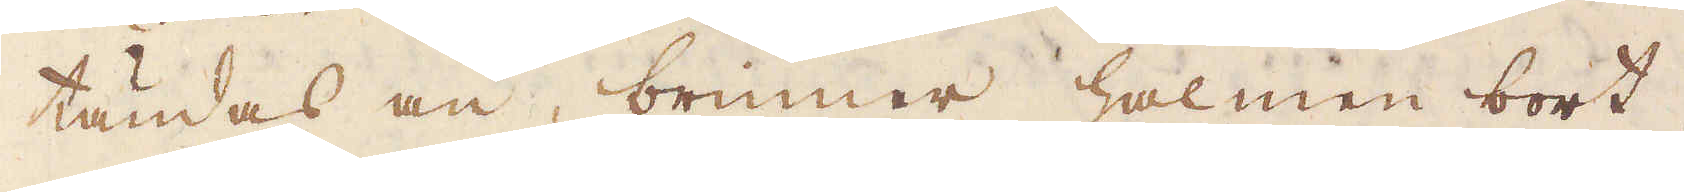tändas an, brinner halmen bort
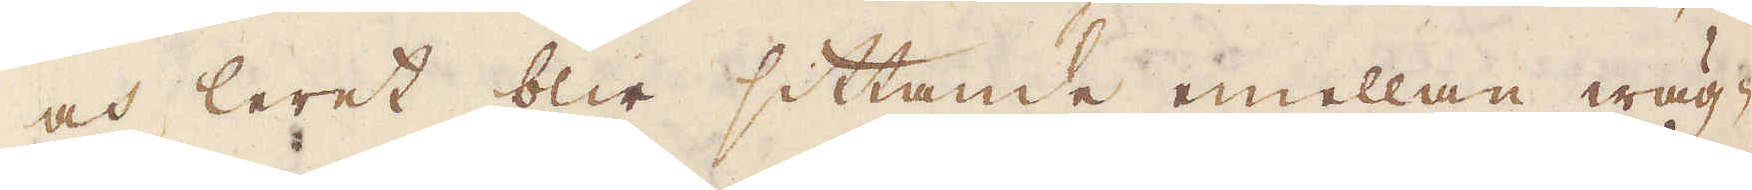och leret blir sittande emellan wäg-
